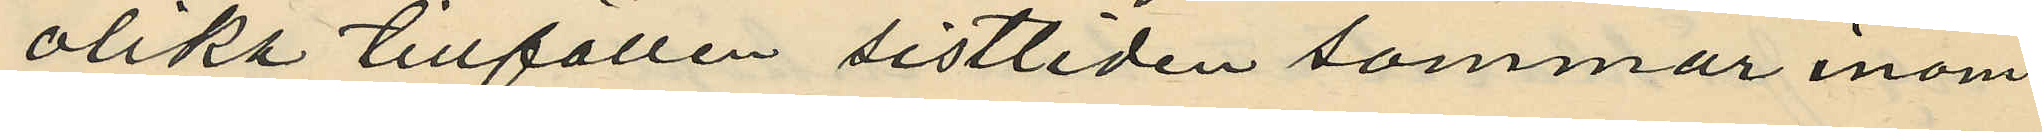olika tillfällen sistliden sommar inom
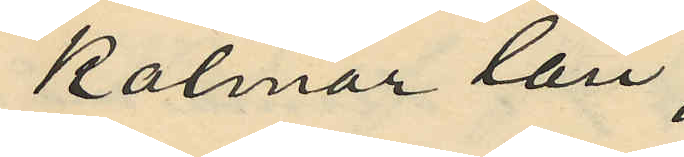Kalmar län;
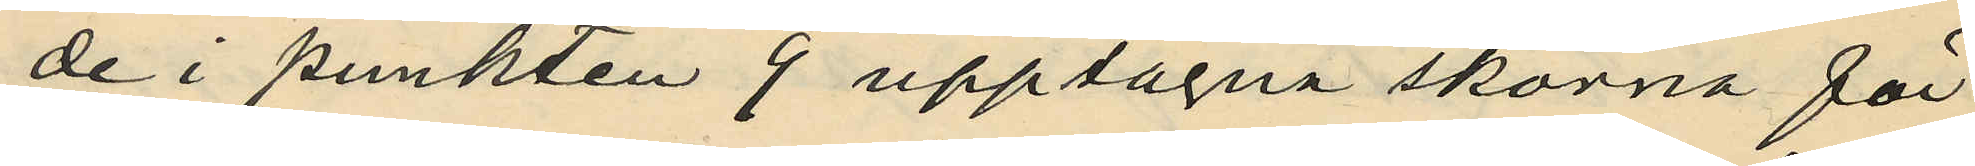de i punkten 9 upptagna skorna för
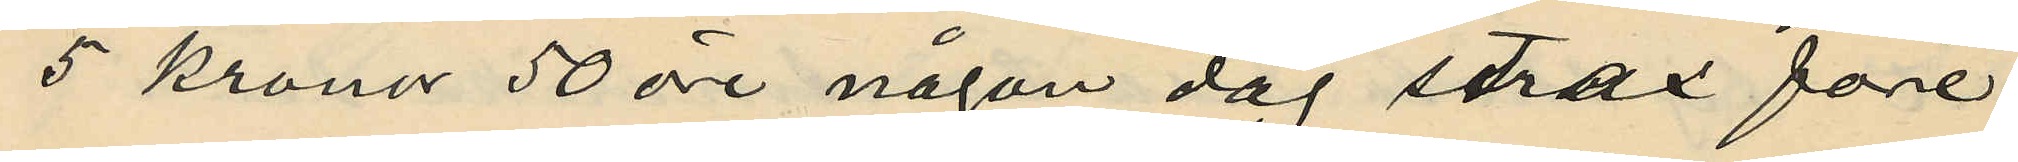5 kronor 50 öre någon dag strax före
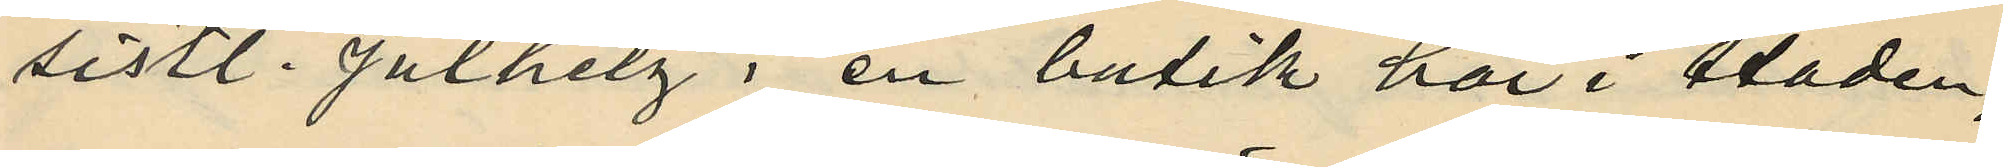sistl. julhelg i en butik här i staden,
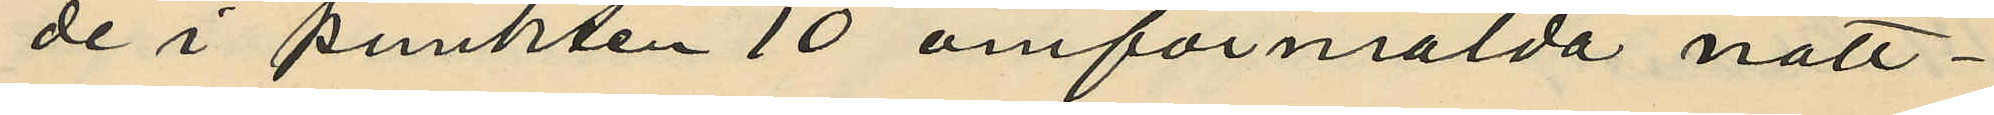de i punkten 10 omförmälda natt¬
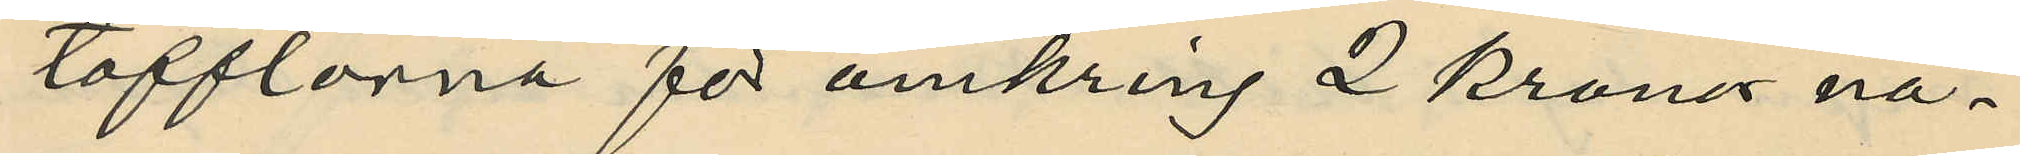tofflorna för omkring 2 kronor nå¬
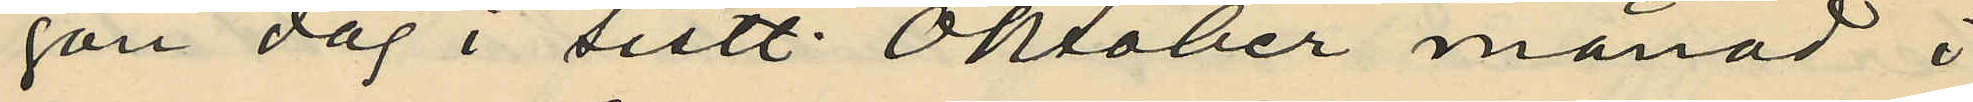gon dag i sistl. Oktober månad i
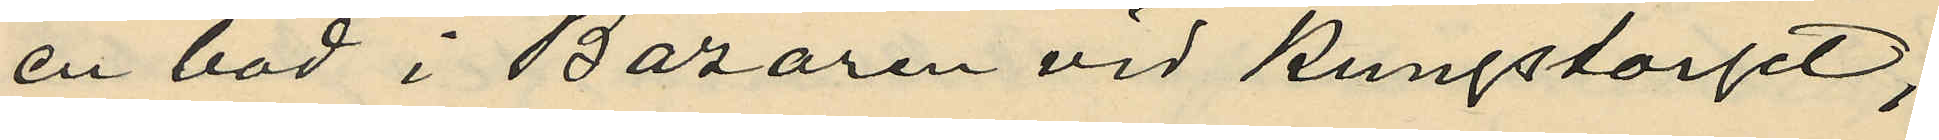en bod i Bazaren vid Kungstorget;
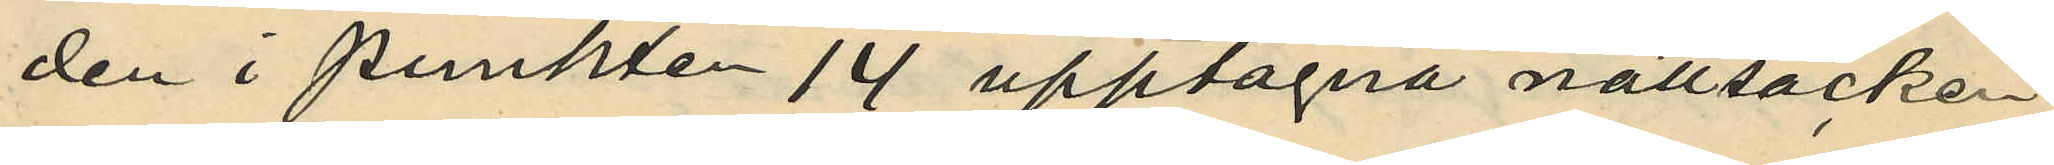den i punkten 14 upptagna nattsäcken
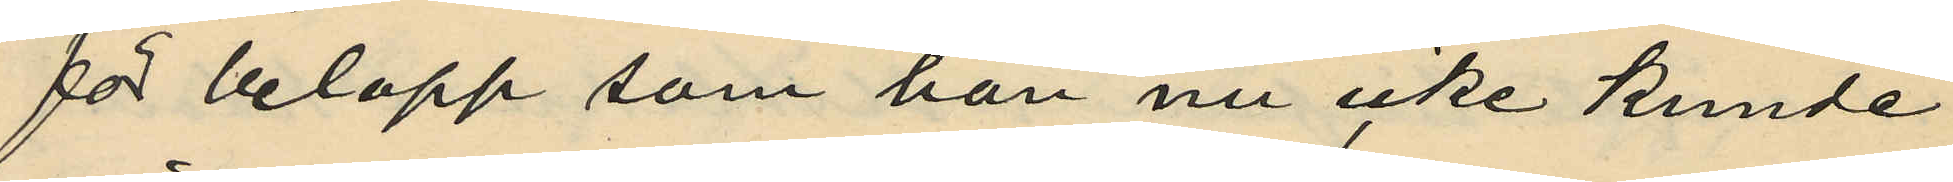för belopp som han nu icke kunde
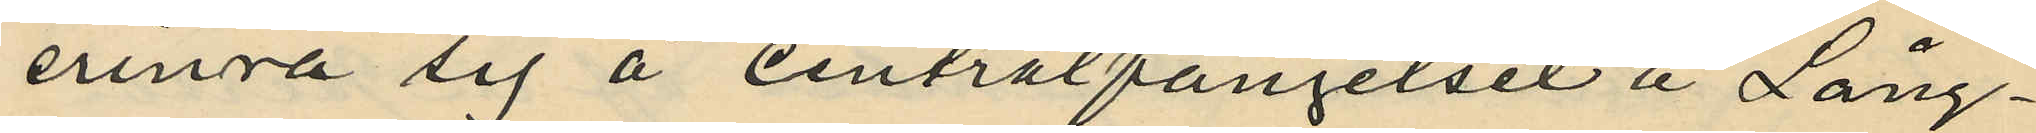erinra sig å centralfängelset å Lång¬
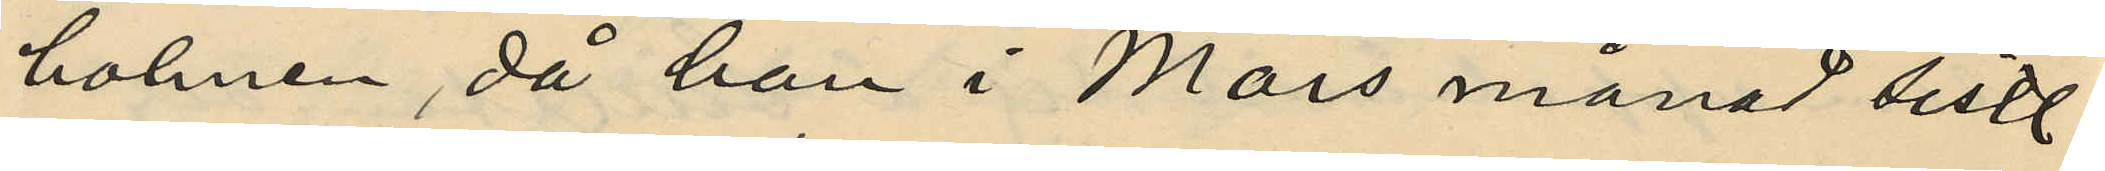holmen, då han i Mars månad sistl.
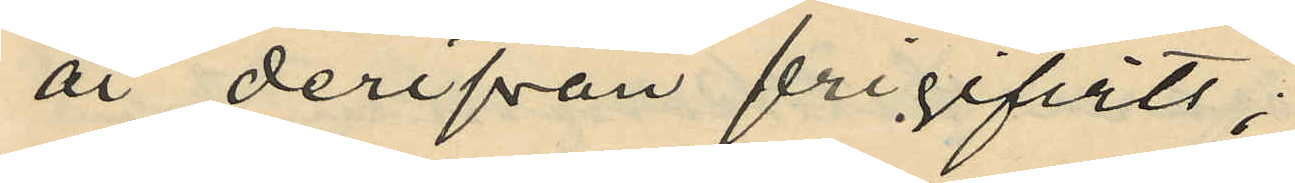år derifrån frigifvits;
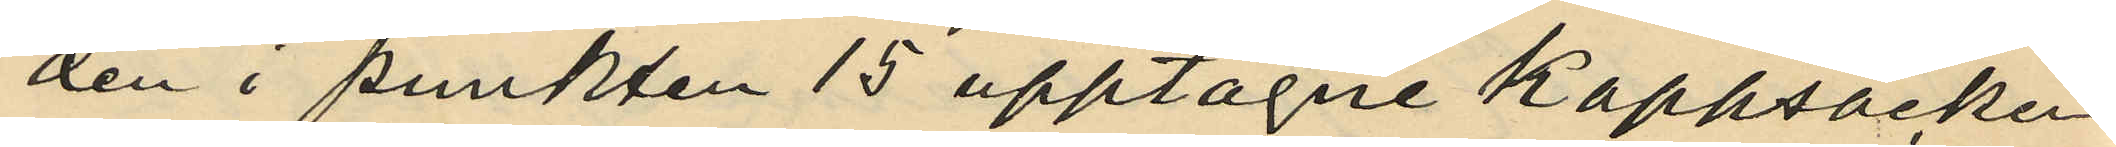den i punkten 15 upptagne kappsäcken
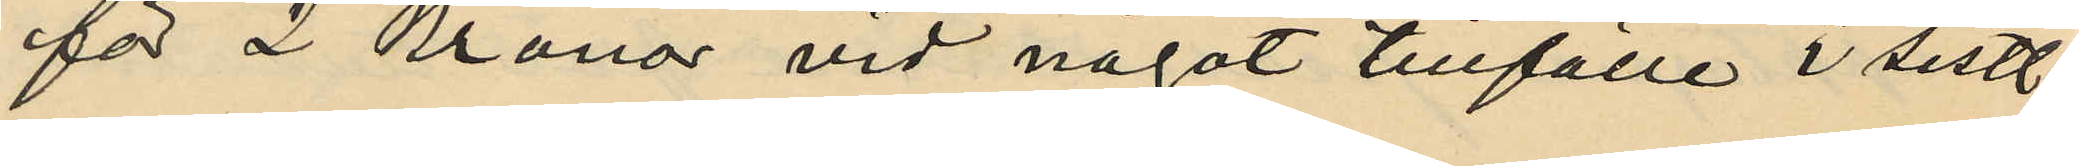för 2 Kronor vid något tillfälle i sistl.
